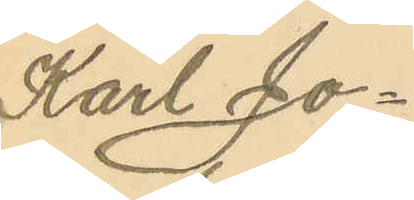Karl Jo¬
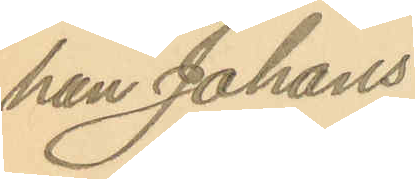han Johans¬
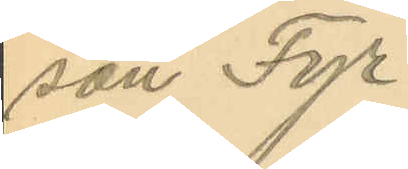son Fyr.
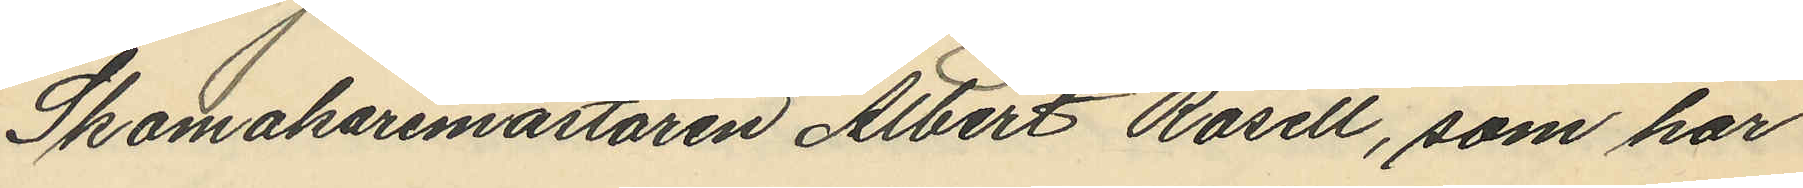Skomakaremästaren Albert Rosell, som har
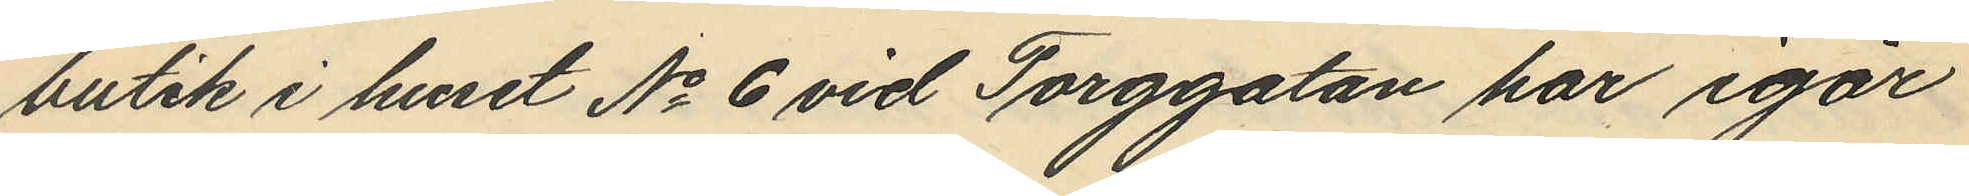butik i huset No 6 vid Torggatan har igår
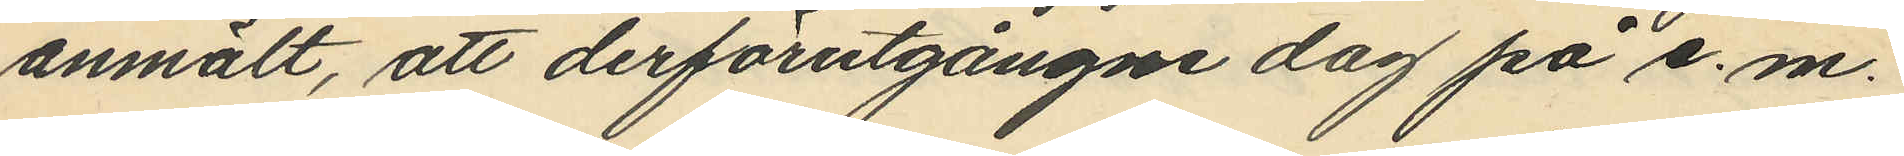anmält, att derförutgångne dag på e. m.
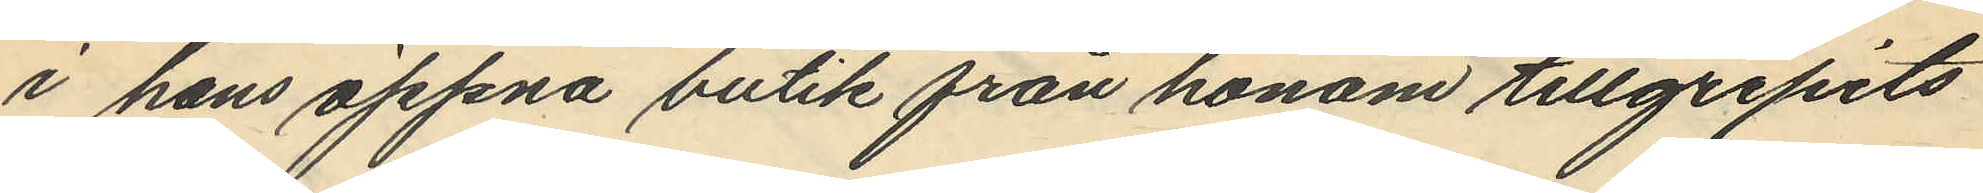i hans öppna butik från honom tillgripits
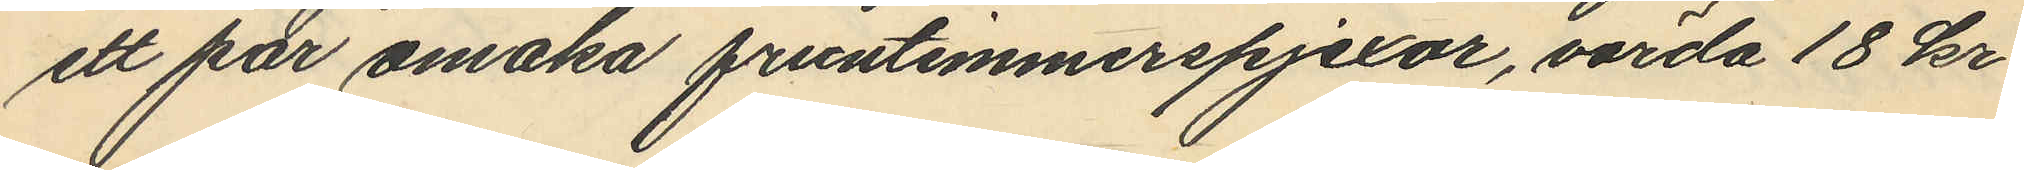ett par omaka fruntimmerspjexor, värda 18 kr.
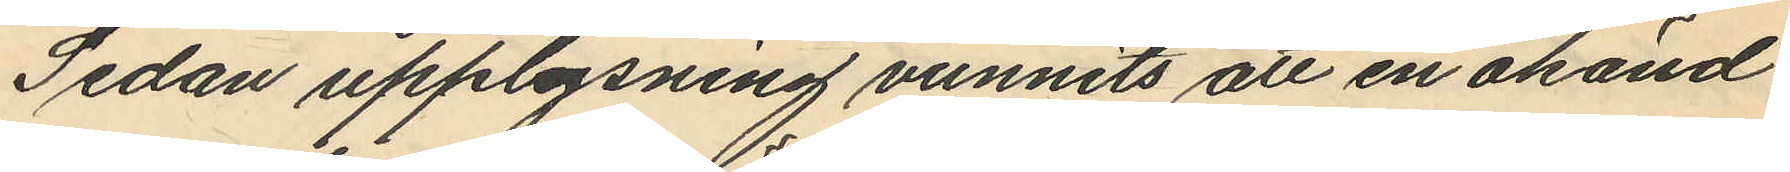Sedan upplysning vunnits att en okänd
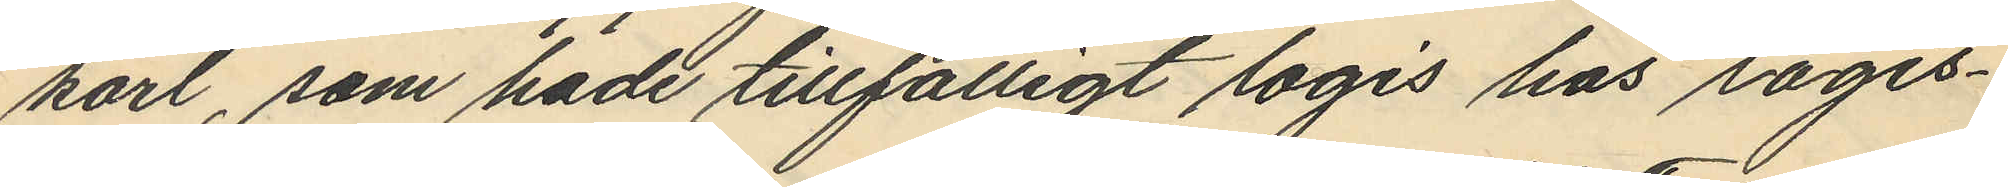karl, som hade tillfälligt logis hos logis¬
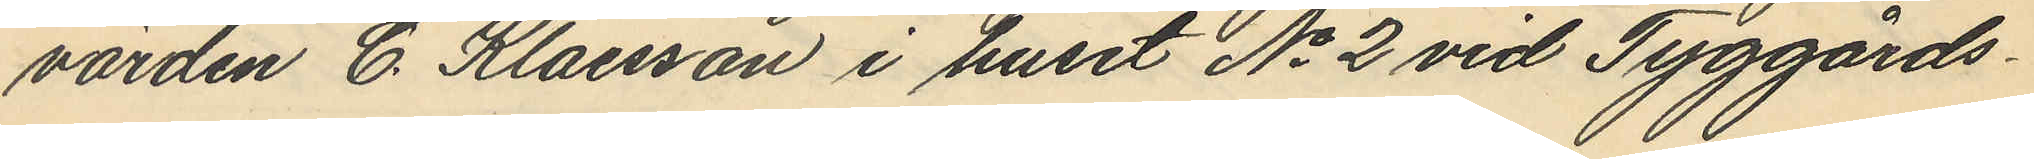värden C. Klaesson i huset No 2 vid Tyggårds¬
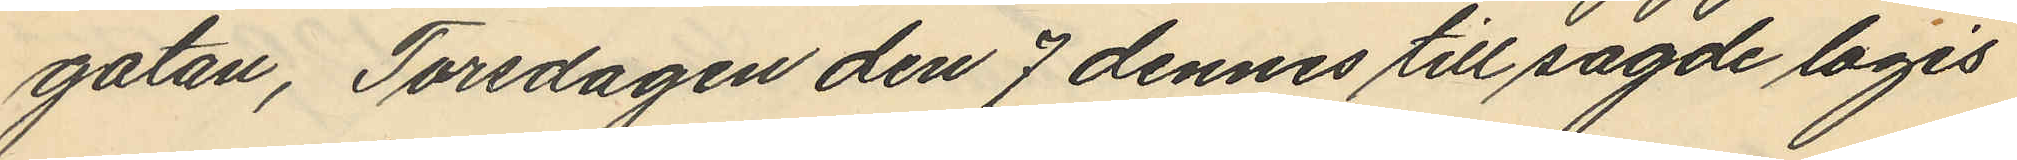gatan, Torsdagen den 7 dennes till sagde logis
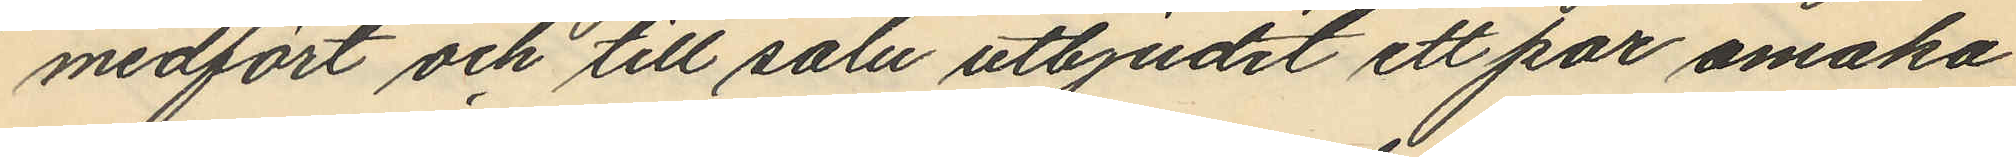medfört och till salu utbjudit ett par omaka
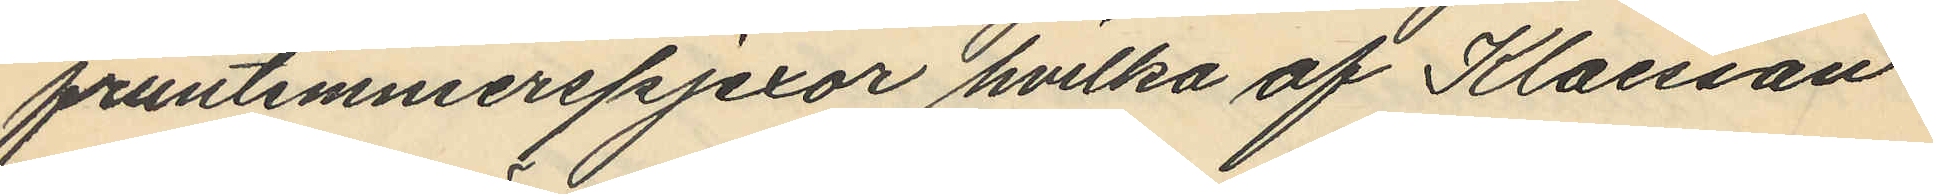fruntimmerspjexor hvilka af Klaesson
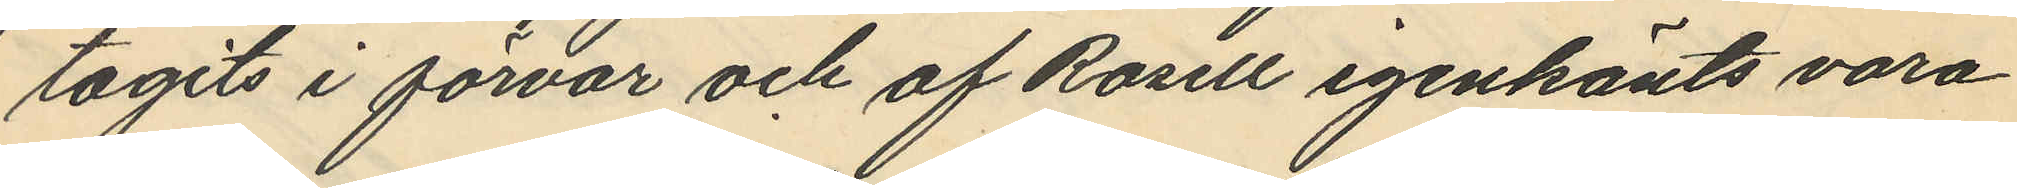tagits i förvar och af Rosell igenkänts vara
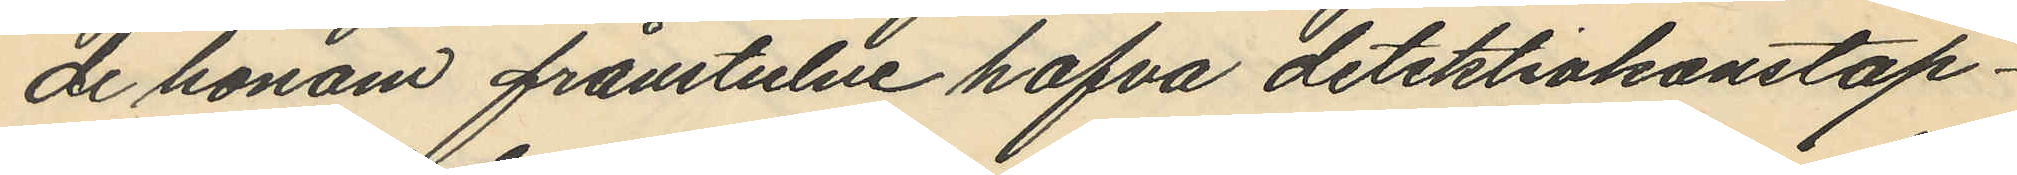de honom frånstulne hafva detektivkonstap¬
